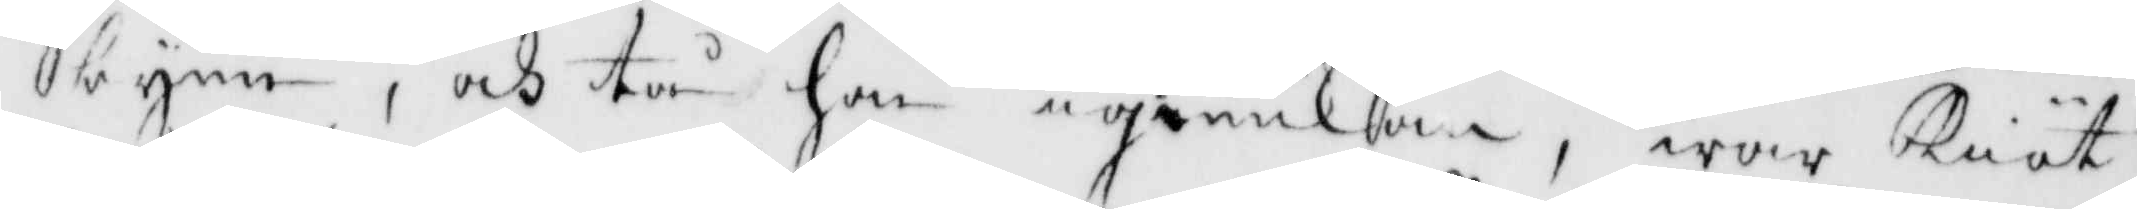byen, och tå hon igenkom, war Kiöt¬
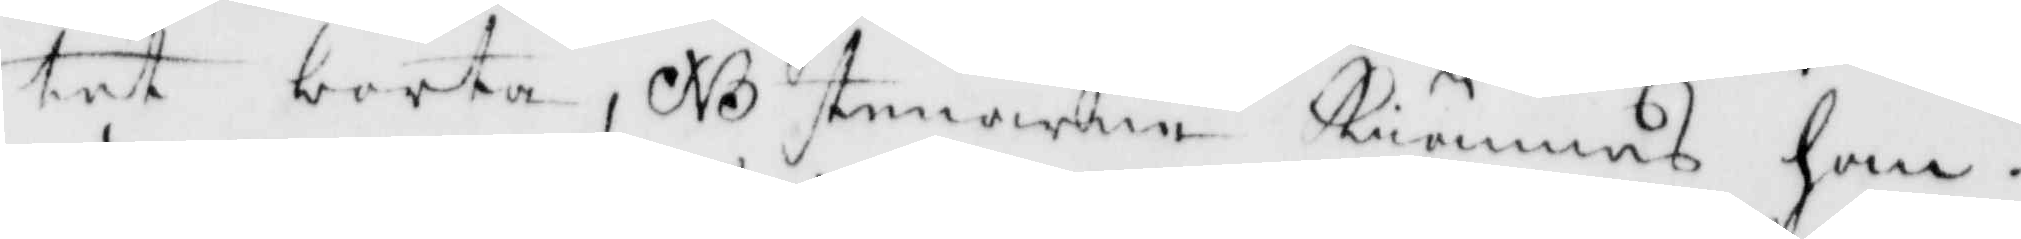tet borta, NB stenarne Kiännes han.
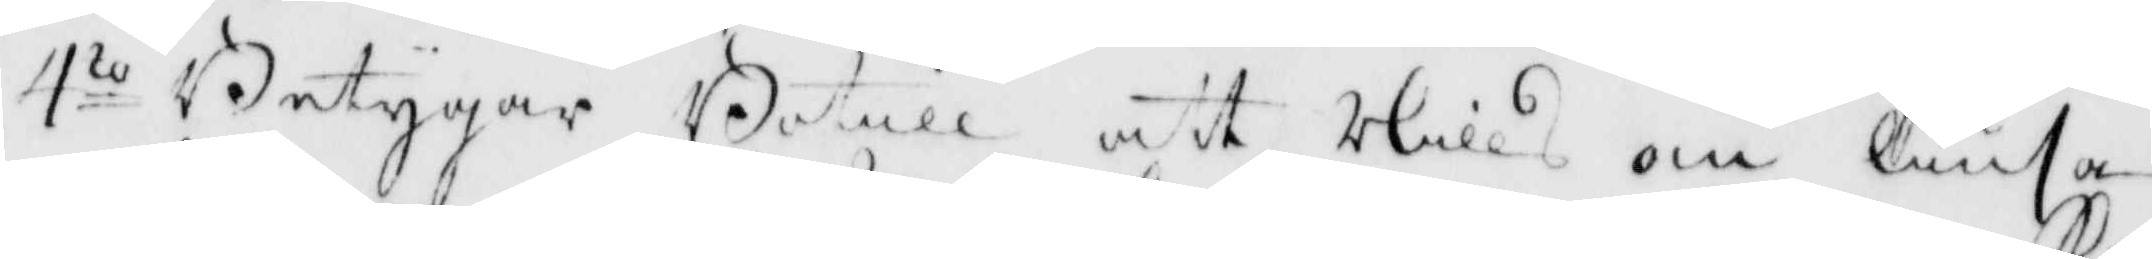4to Betygar Botill att Nills om liusa
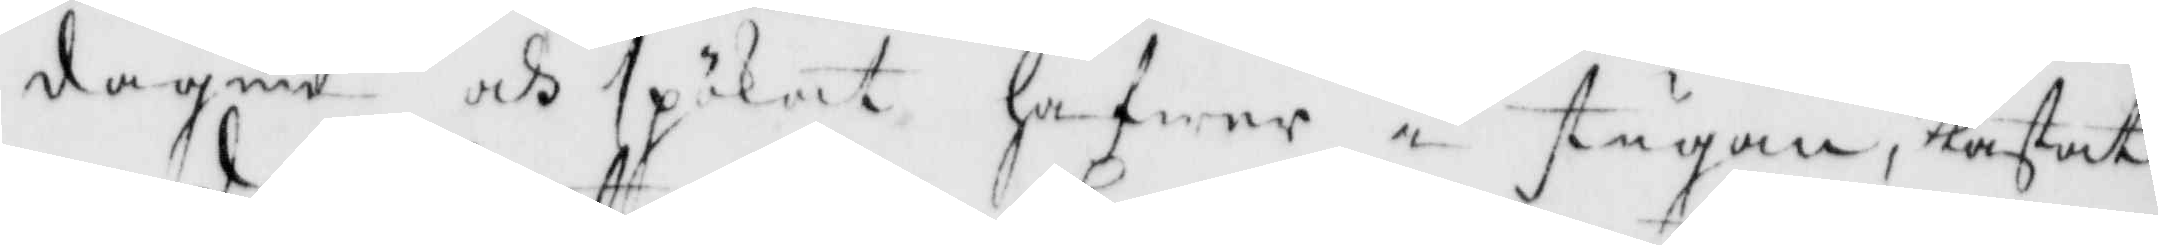dagen och spökat hafwer i stugan, kastat
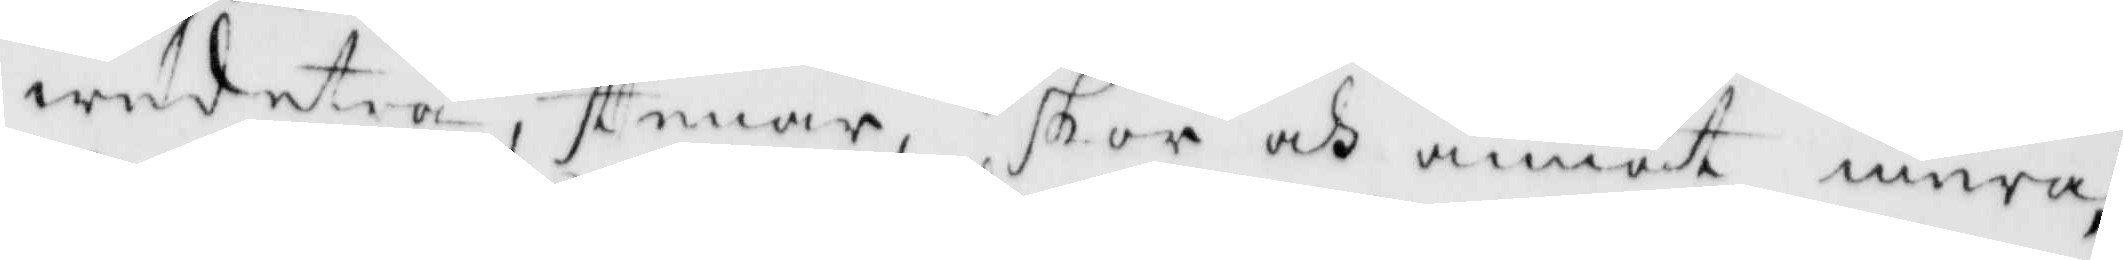wedeträ, stenar, skor och annat mera,
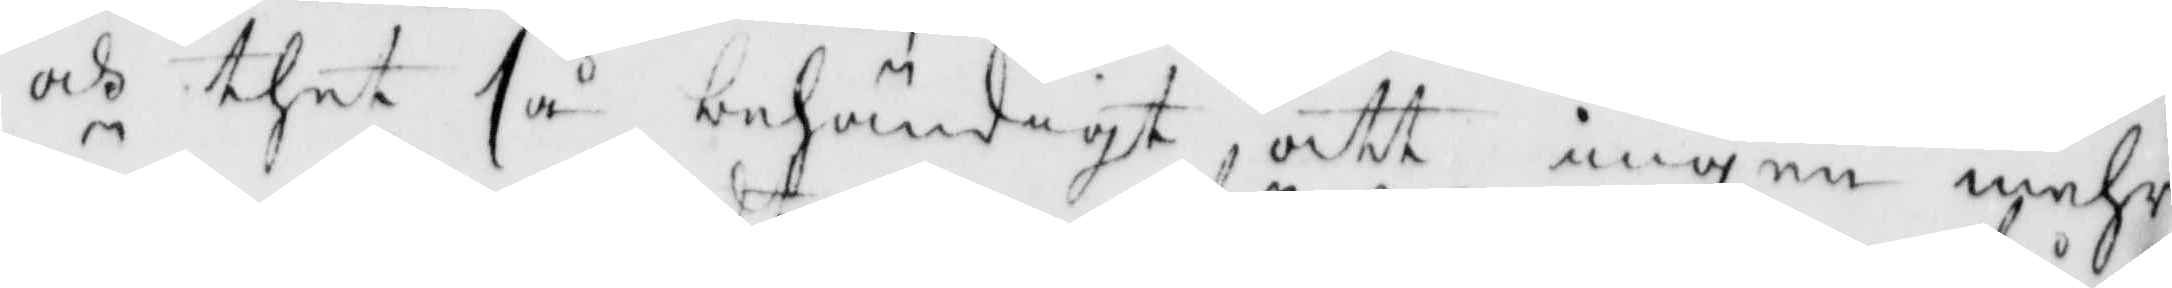och thet så behändigt att ingen mehr
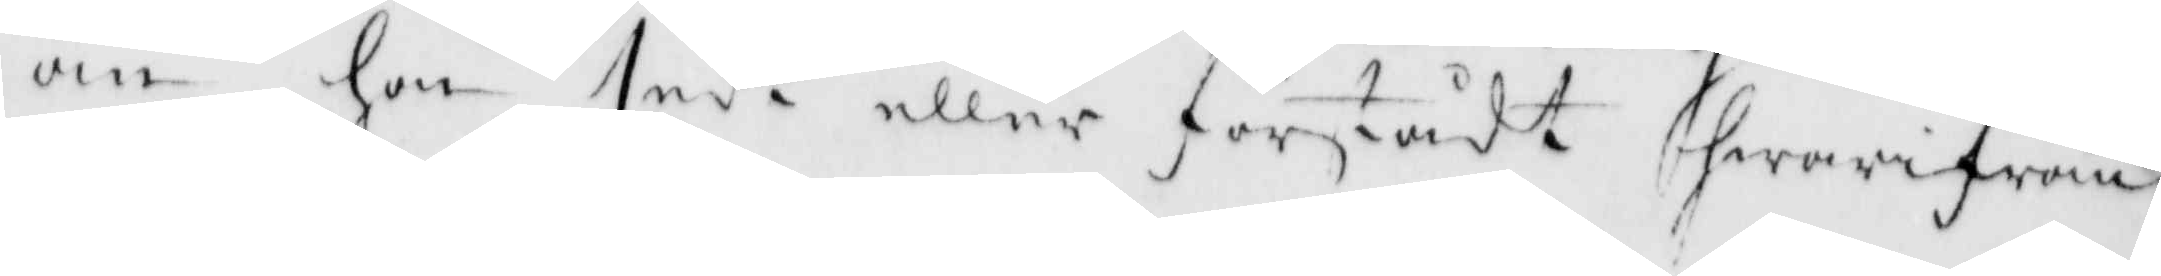än hon sedt eller förstådt hwarifrån
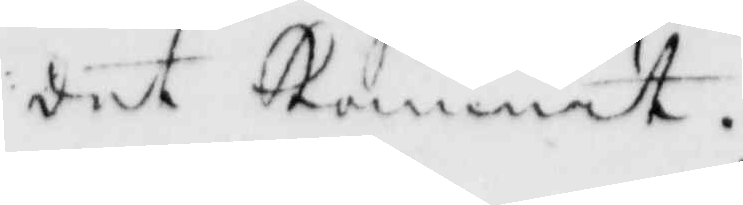det kommit.
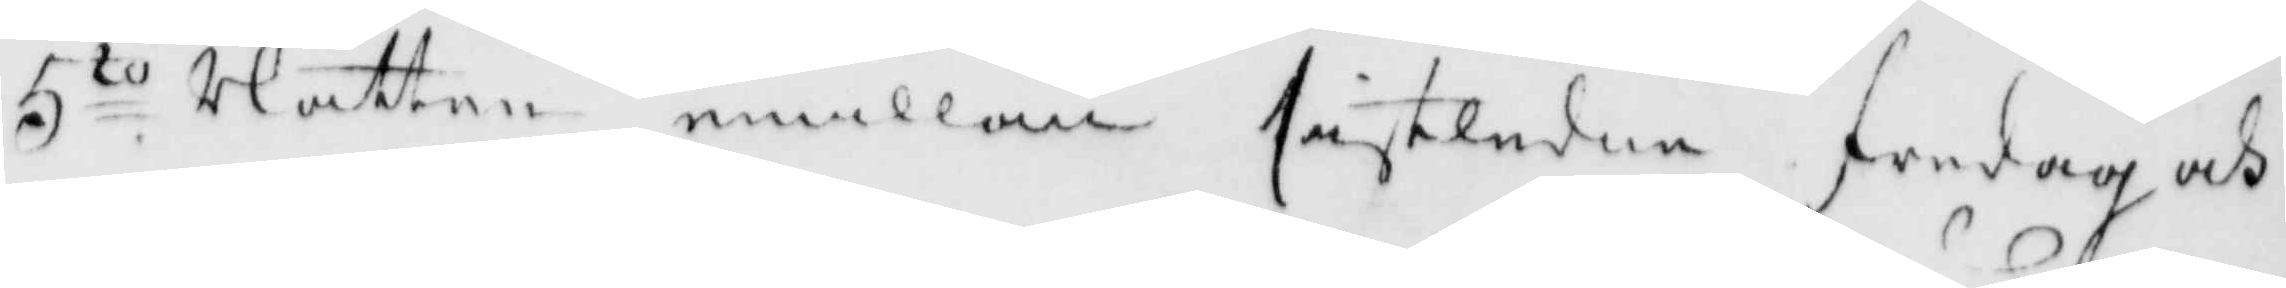5to Natten emillan sistledne fredag och
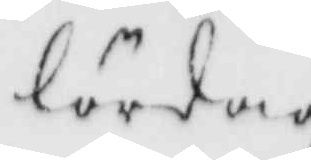lördag
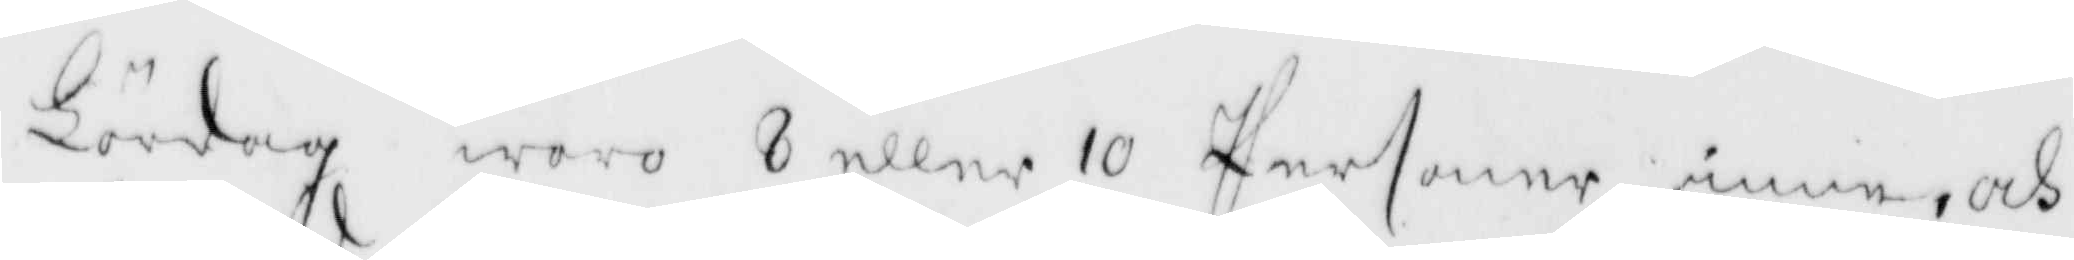Lördag woro 8 eller 10 Personer inne, och
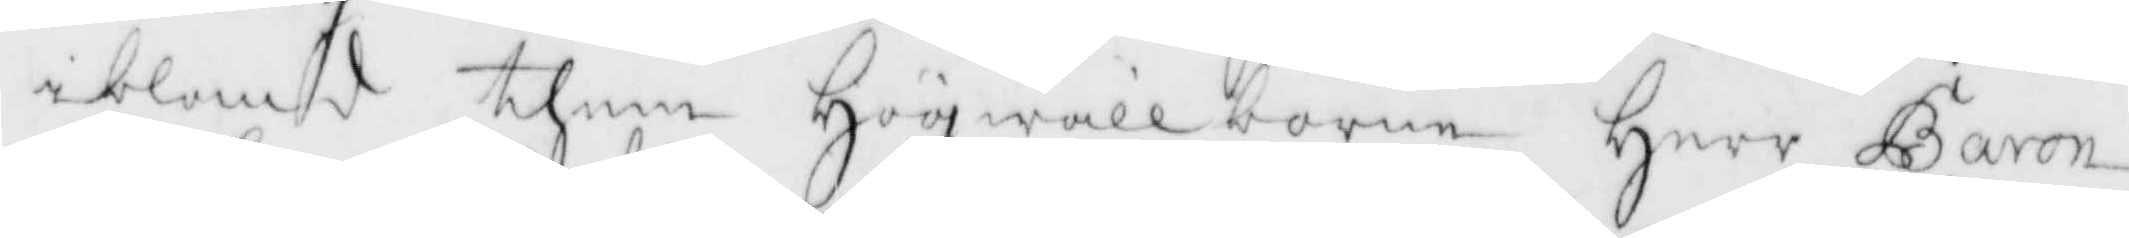i bland them Högwällborne Herr baron
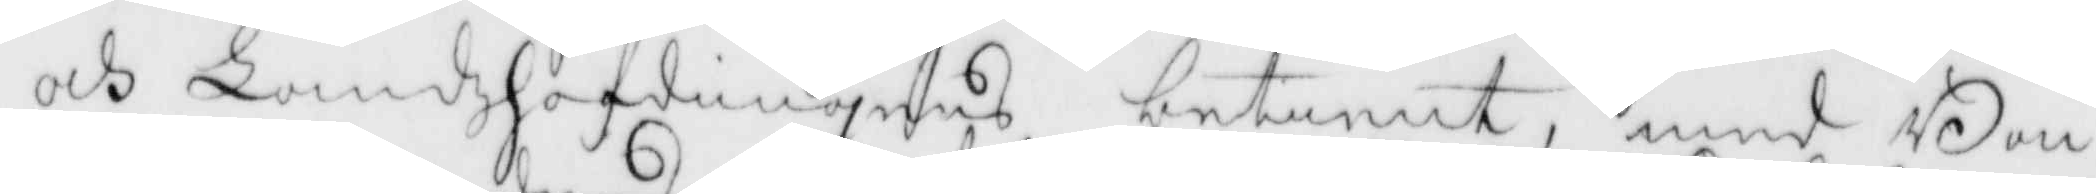och Landshöfdingens betient, med Bon¬
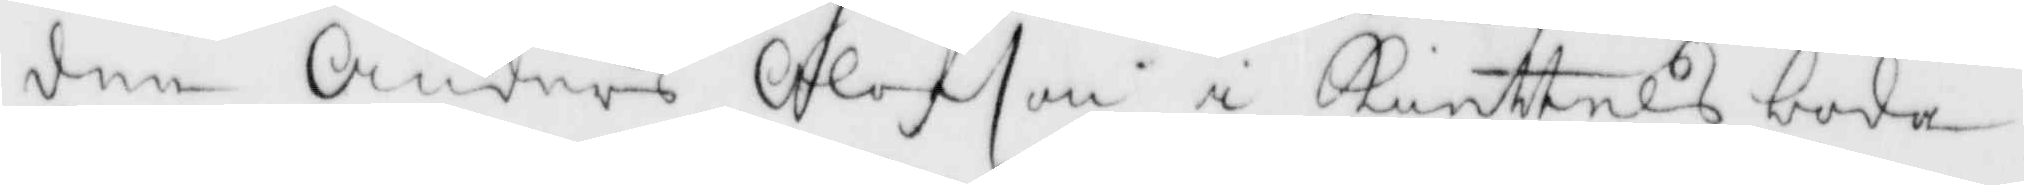den Anders Olfson i Kuttelsboda,
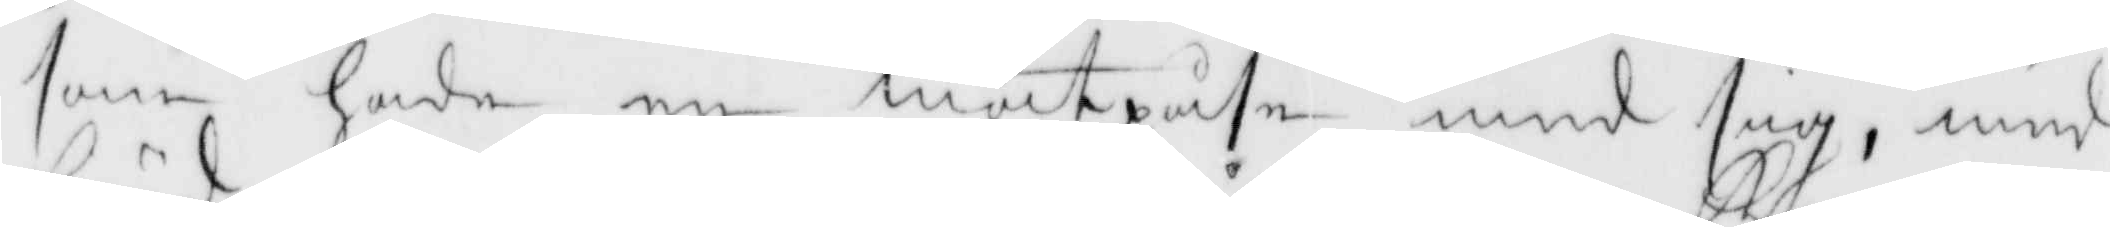som hade ne matpåse med sig, med
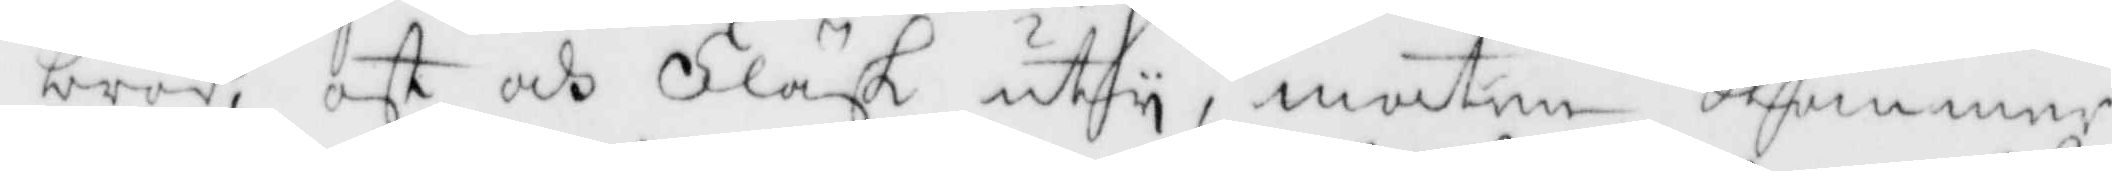bröd, ost och Fläsk uty, maten Kommer
